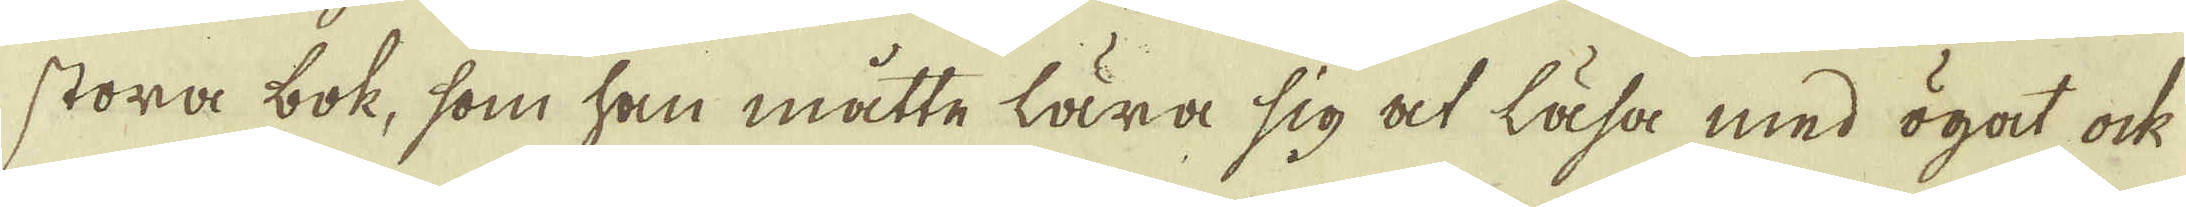stora bok, som han måtte lära sig at läsa med ögot ock
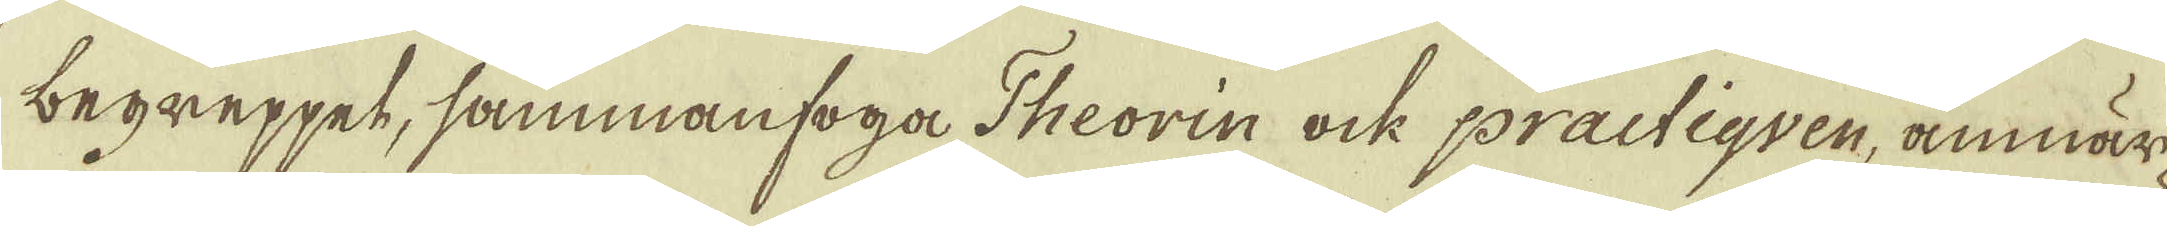begeppet, sammanfoga Theorin ock practiquen, anmär-
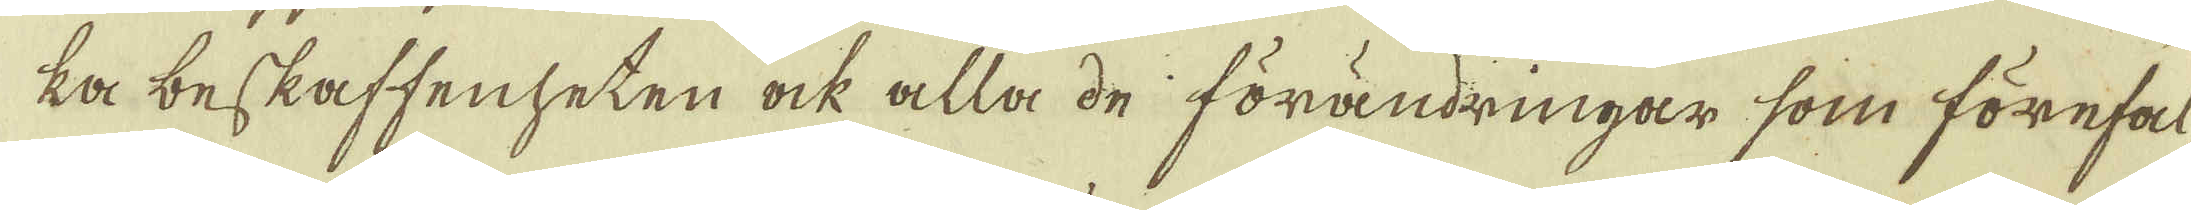ka beskaffenheten ock alla de förändringar som förefal-
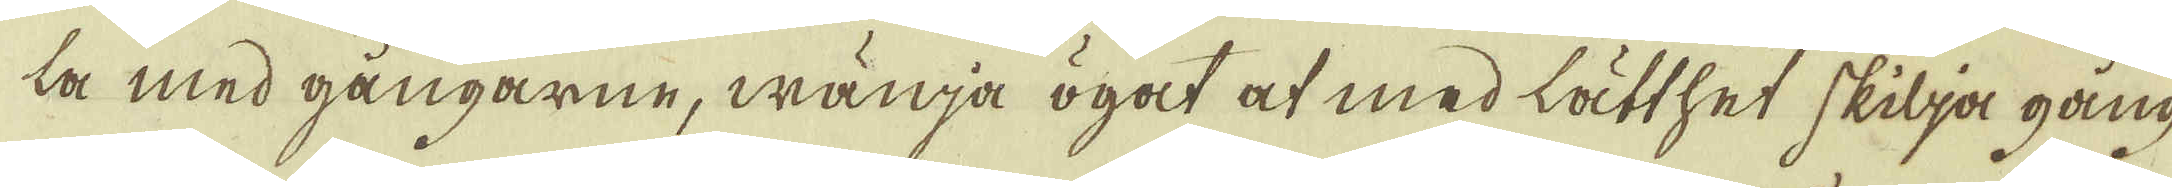la med gångarne, wänja ögot at med lätthet skilja gång
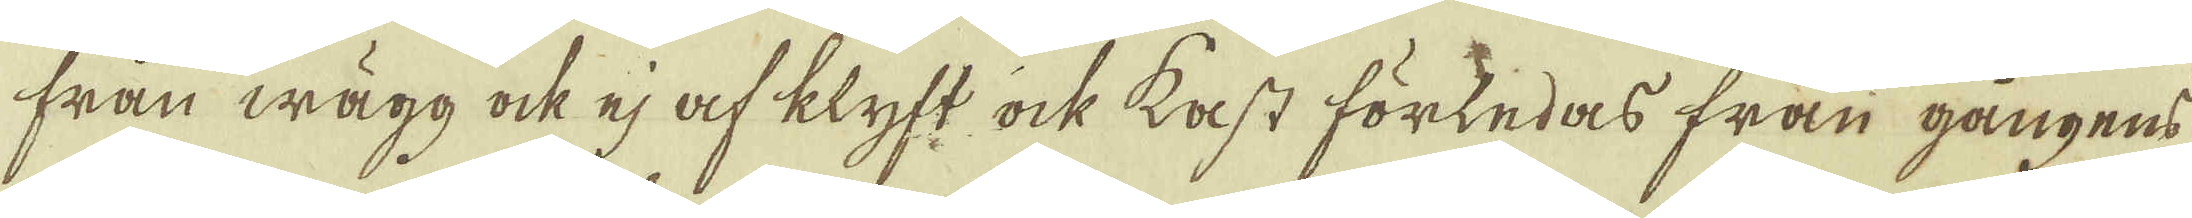från wägg ock ej af klyft ock kast förledas från gångens
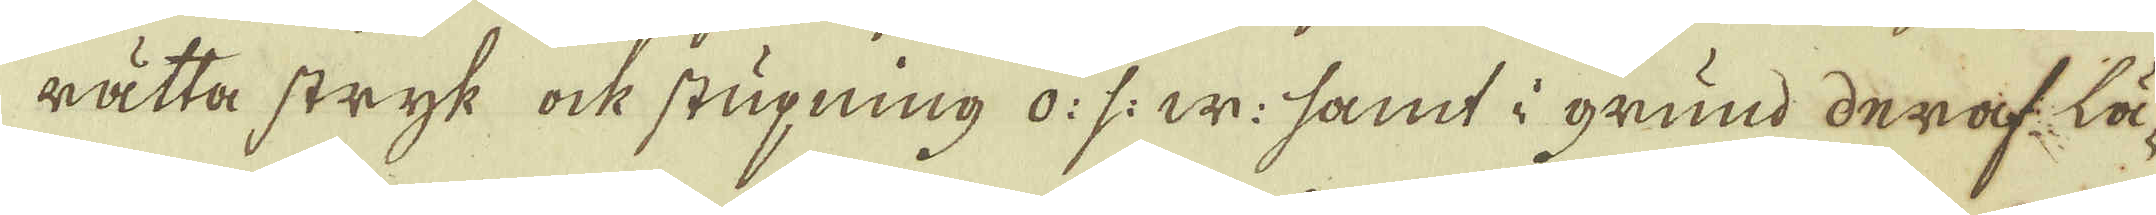rätta stryk ock stigning o: s: w: samt i grund deraf lä-
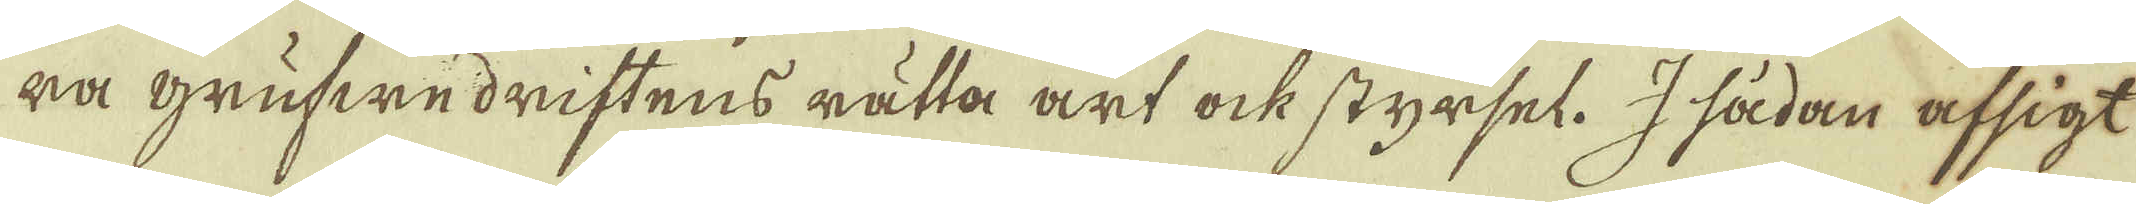ra grufwedriftens rätta art ock styrsel. I sådan afsigt
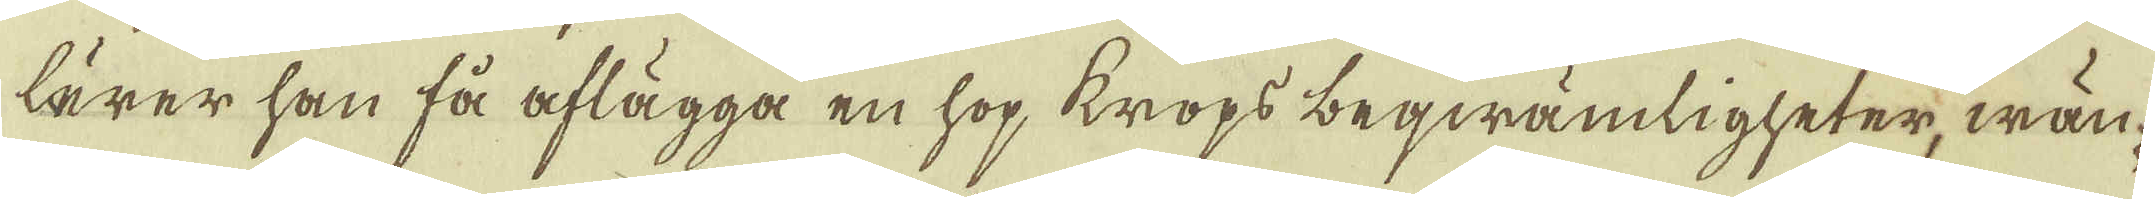lärer han få aflägga en hop krops beqwämligheter, wän-
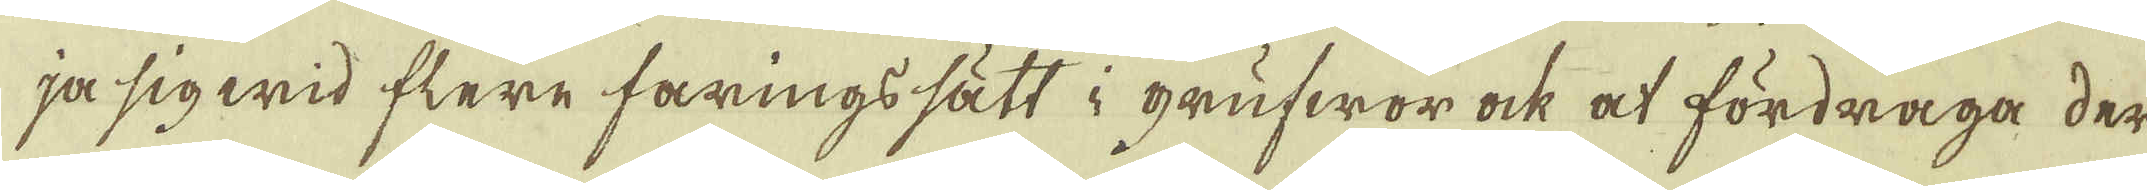ja sig wid flere faringssätt i grufwor ock at fördraga der
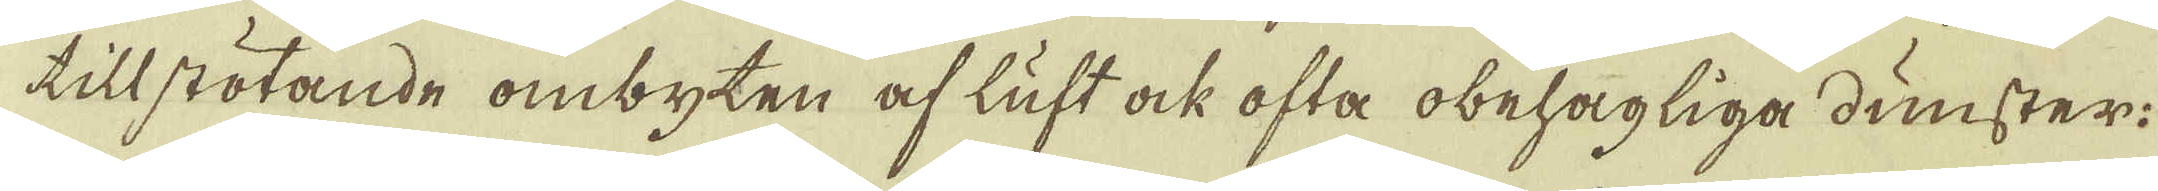tillstötande ombyten af luft ock ofta obehagliga dunster:
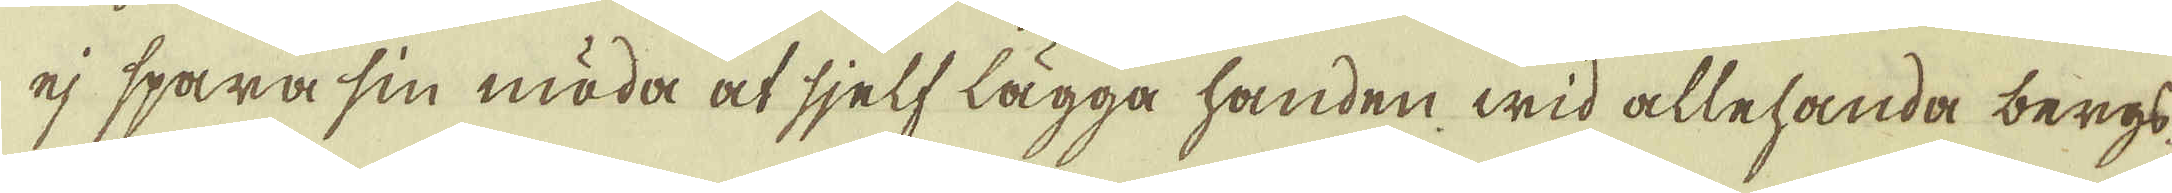ej spara sin möda at sjelf lägga handen wid allehanda bergs
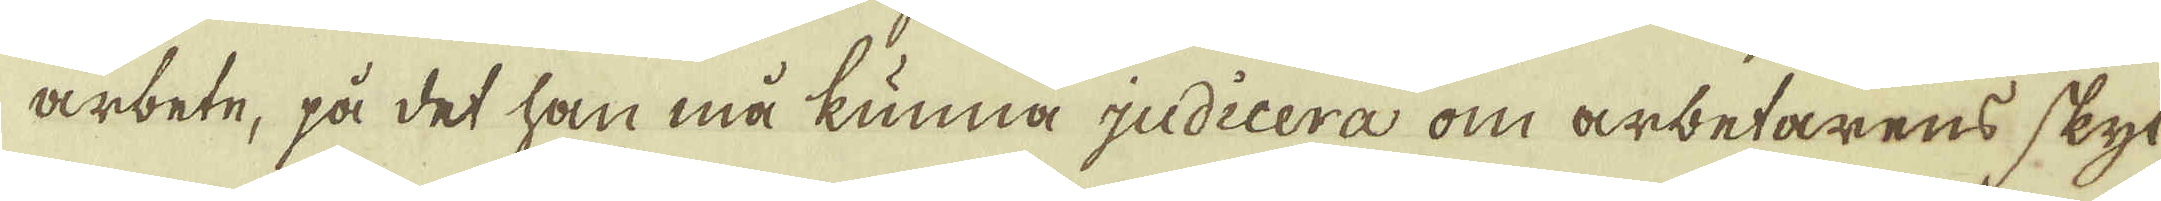arbete, på det han må kunna judicera om arbetarens skyl-
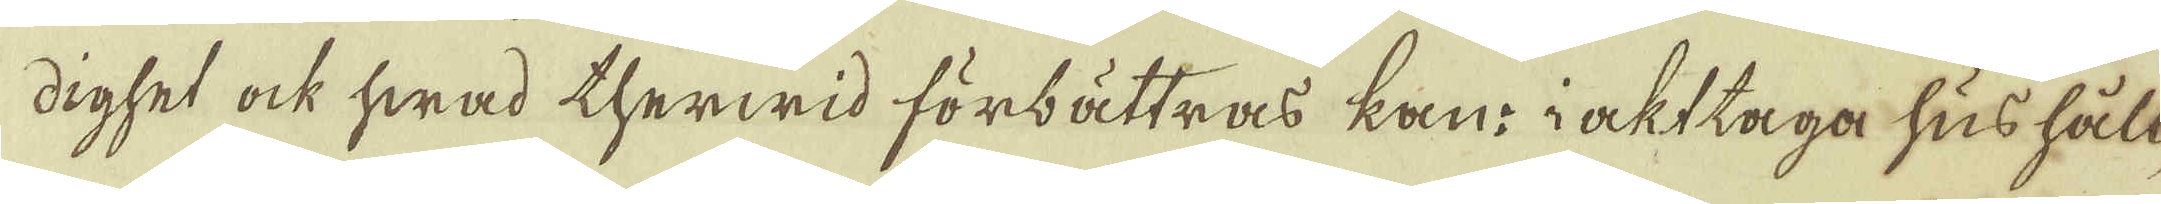dighet ock hwad therwid förbättras kan: iaktaga hushåll-
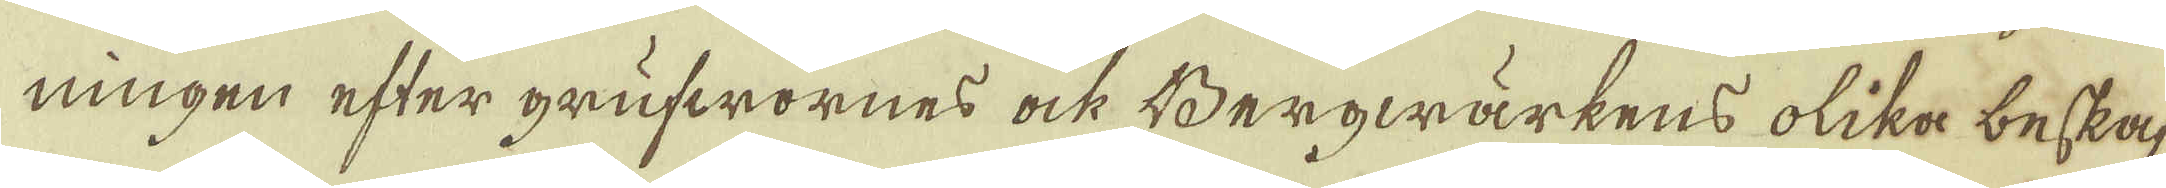ningen efter grufwornes ock Bergwärkens olika beskaf-
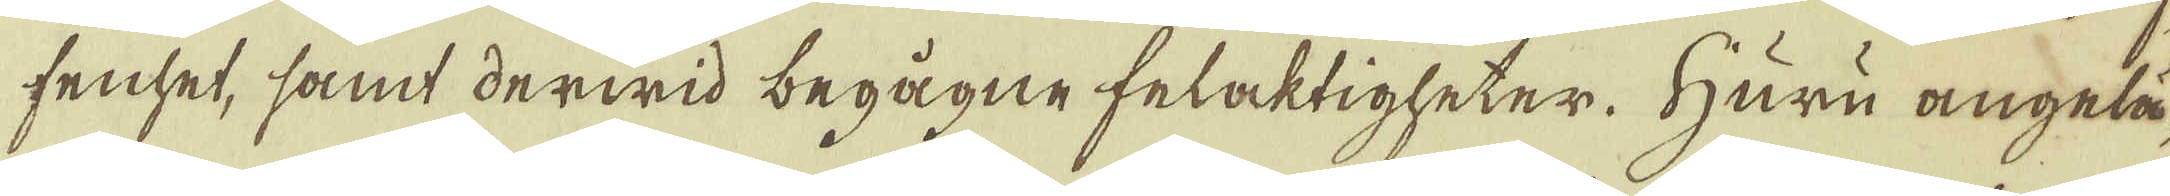fenhet, samt derwid begågne felaktigheter. Huru angelä-
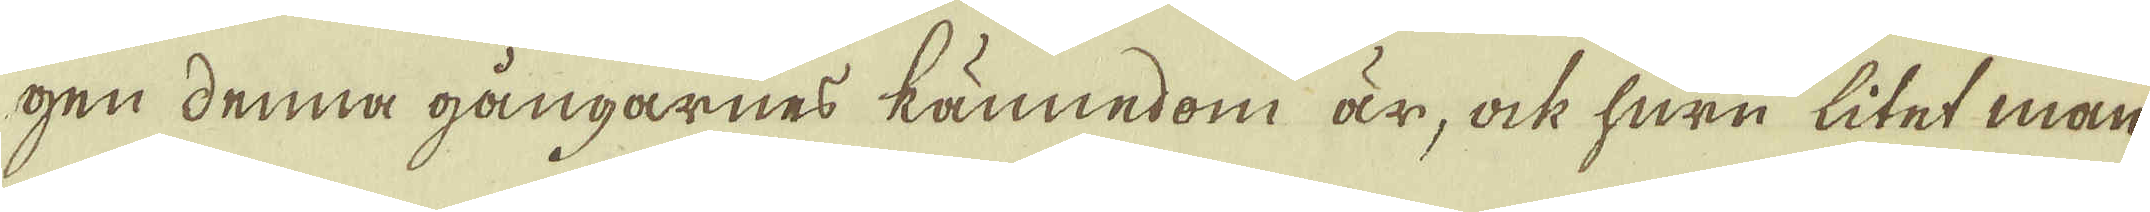gen denna gångarnes kännedom är, ock huru litet man
